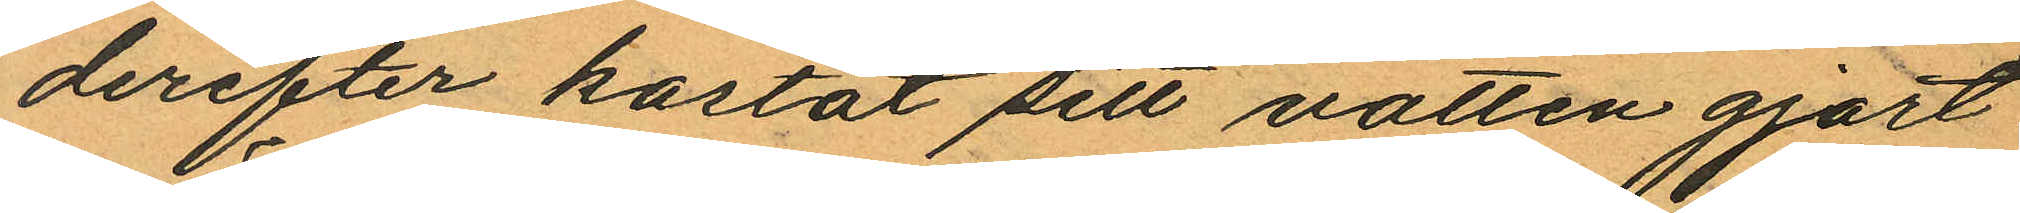derefter kastat sitt vatten gjort
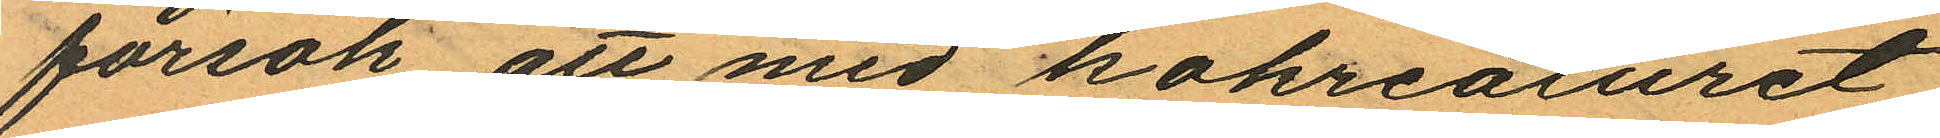försök att med kokreaturet
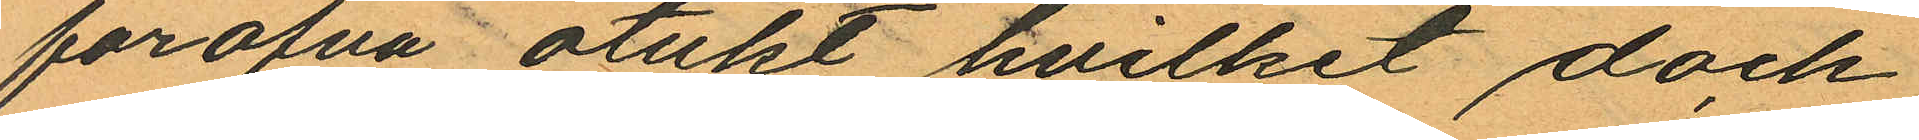föröfva otukt hvilket dock
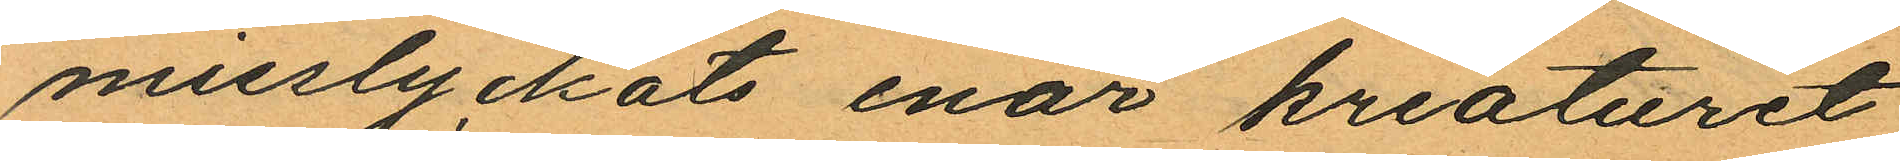misslyckats enär kreaturet
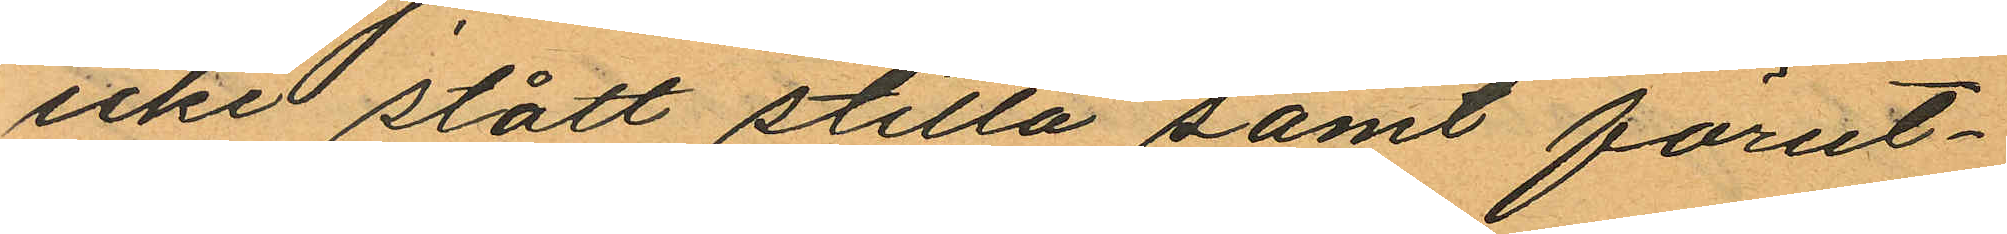icke stått stilla samt förut¬
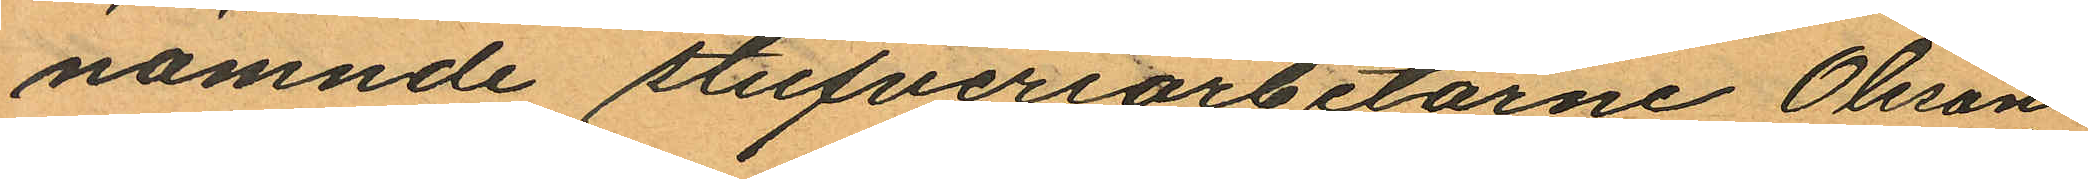nämnde stufveriarbetarne Olsson
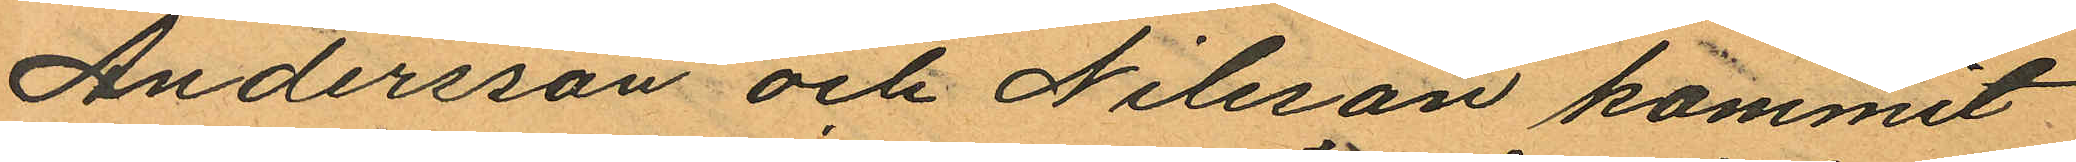Andersson och Nilsson kommit
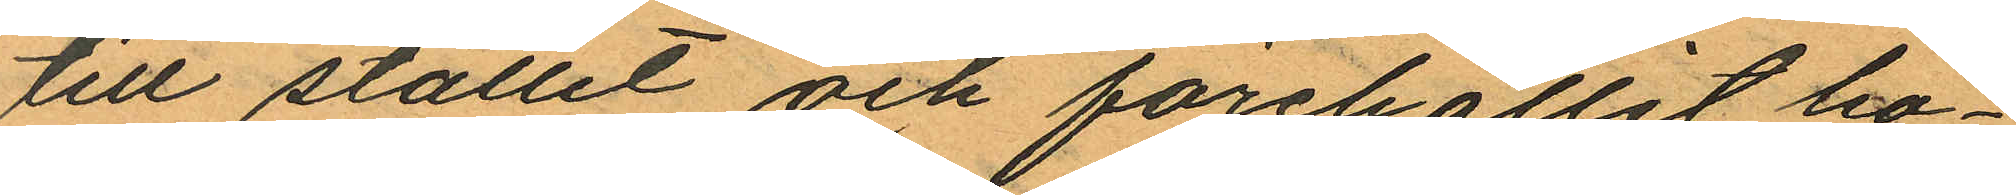till stället och förehållit bo¬
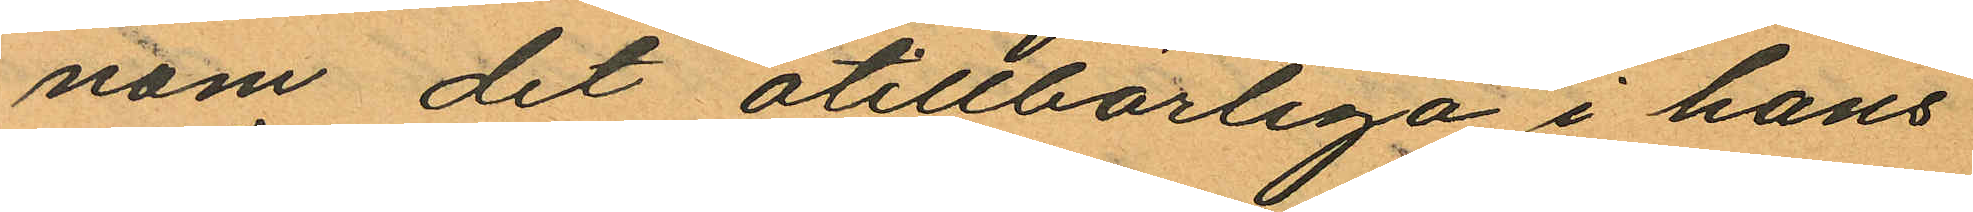nom det otillbörliga i hans
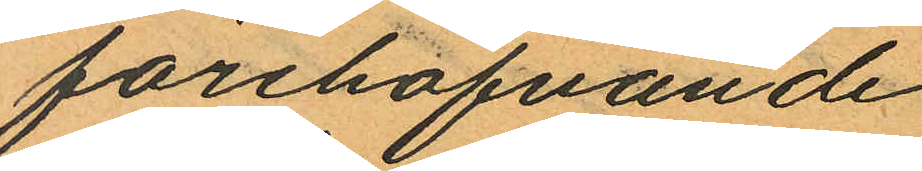förehafvande
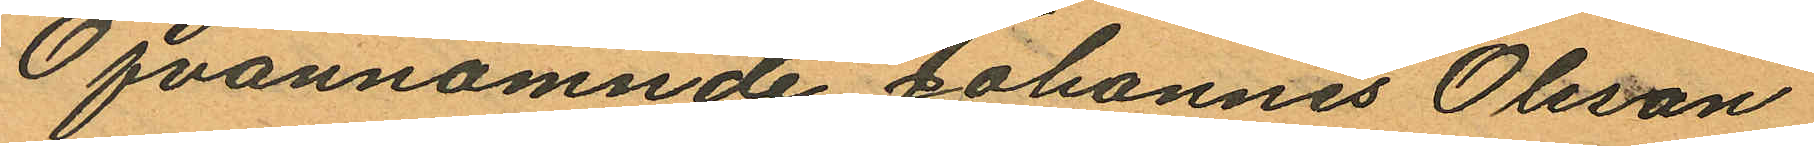Ofvannämnde Johannes Olsson
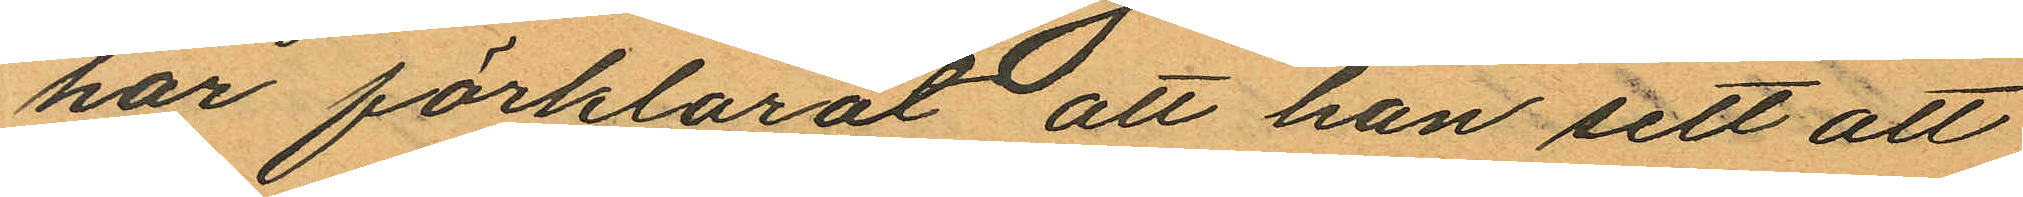har förklarat att han sett att
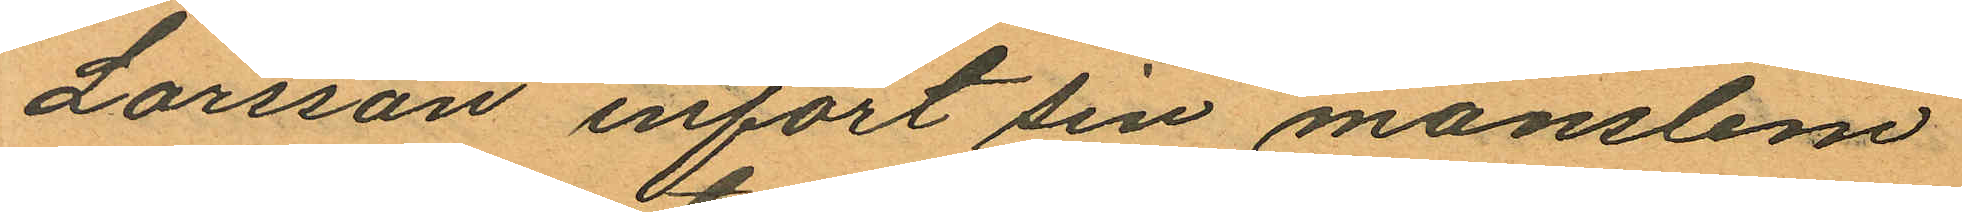Larsson infört sin manslem
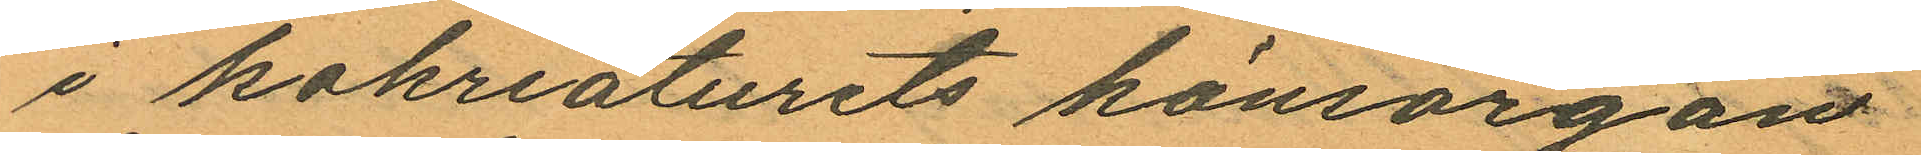i kokreaturets könsorgan
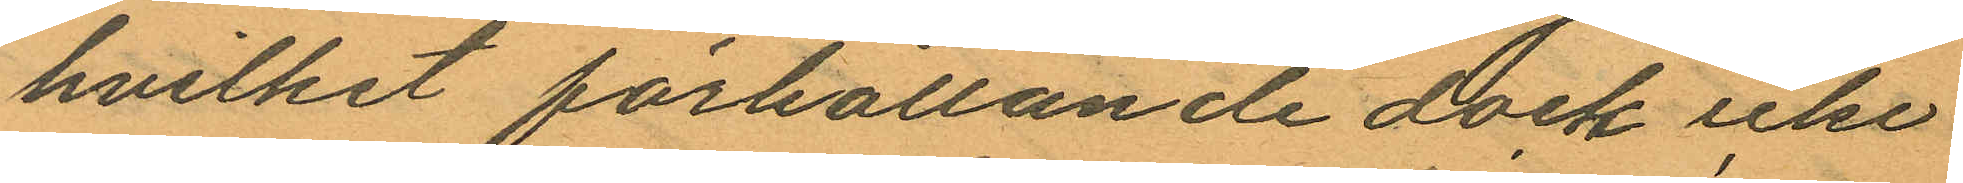hvilket förhållande dock icke
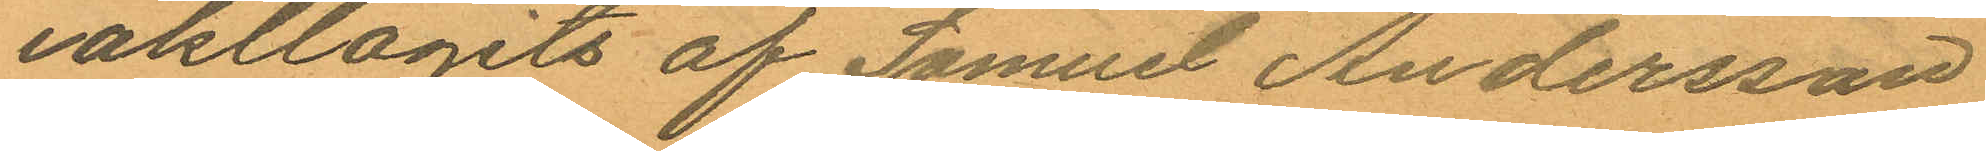iakllagits af Samuel Andersson
